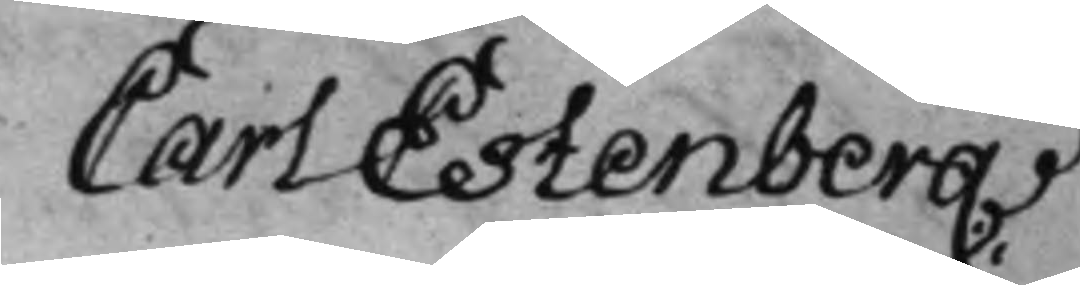Carl Estenberg
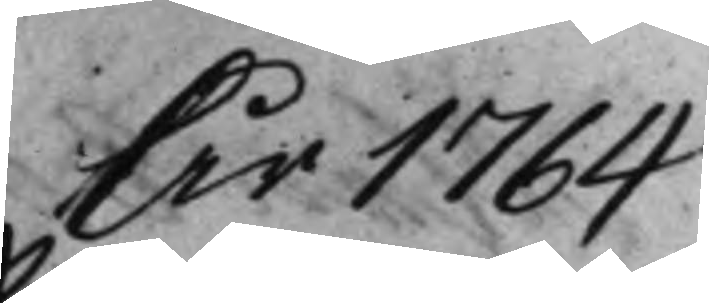År 1764
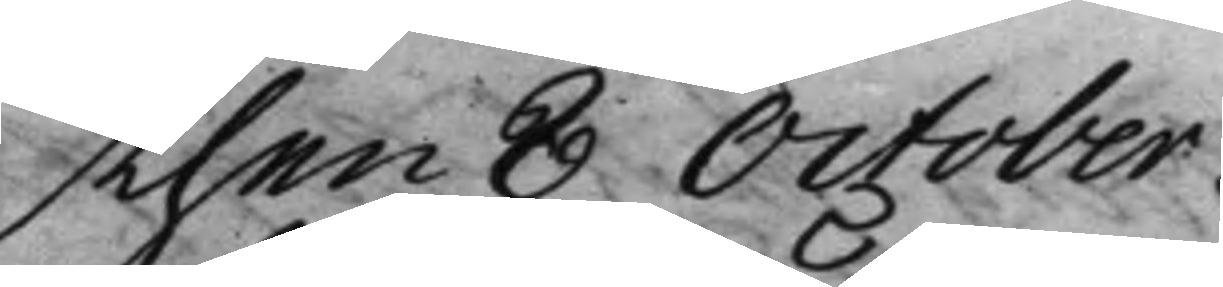then 8 October.
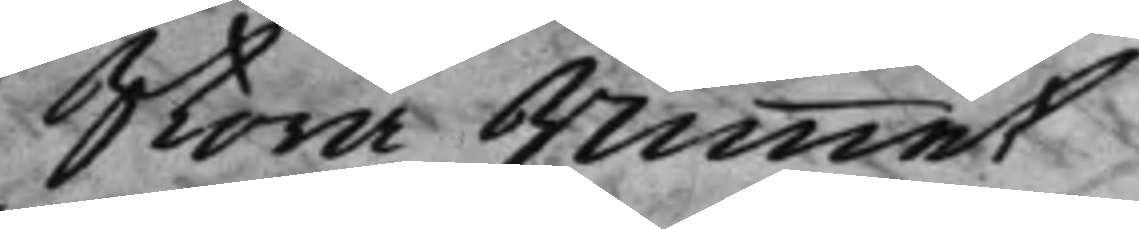Stora Rummet
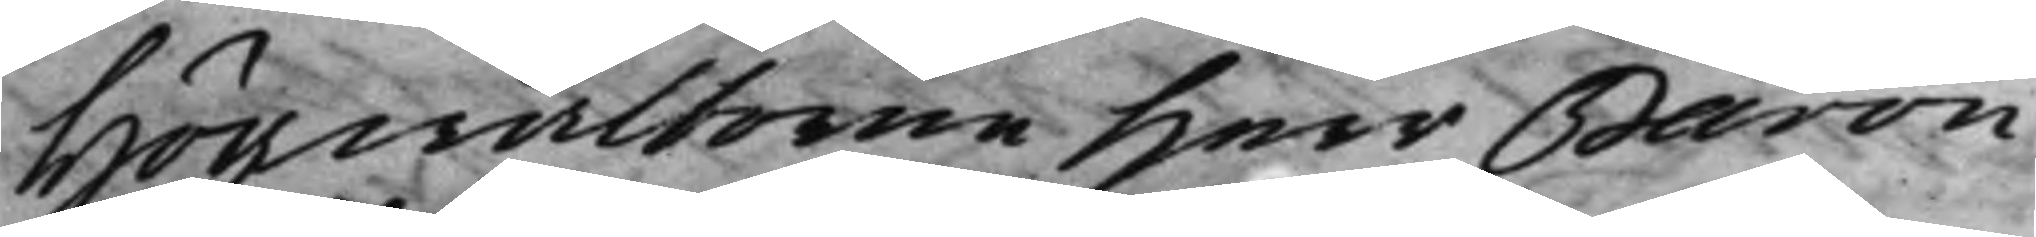Högwälborne Herr Baron
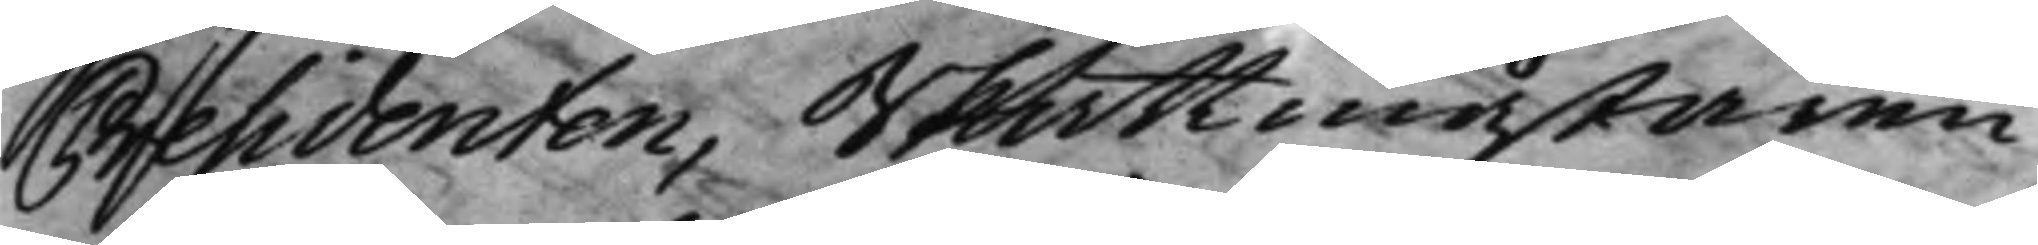Presidenten, Skattmästaren
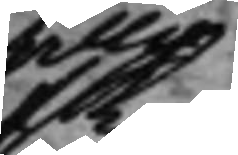alla
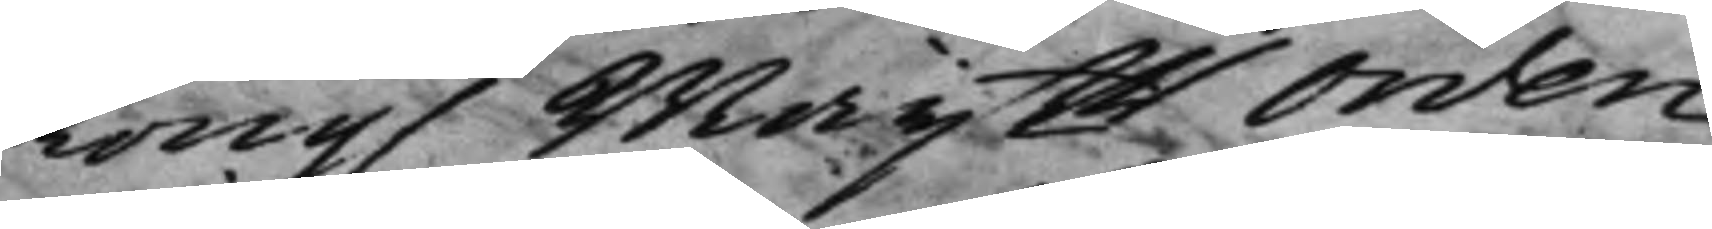Kong. Maijtts Orden
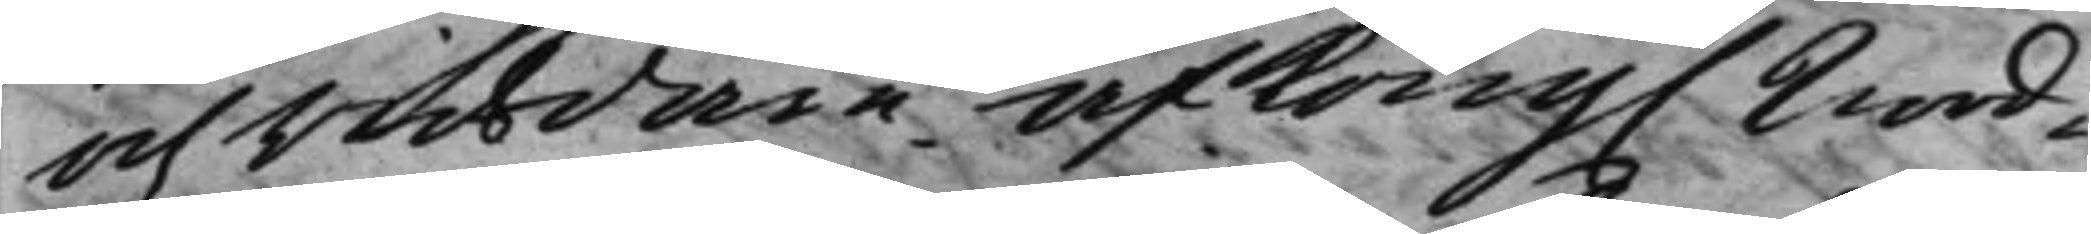och Riddare af Kong. Nord¬
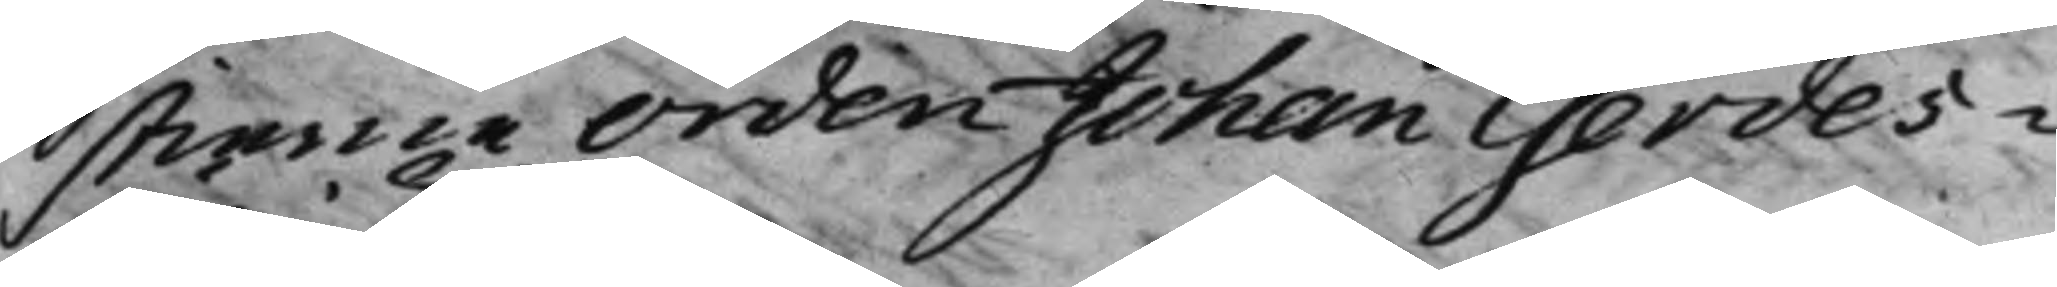stierne Orden Johan Gerdes¬
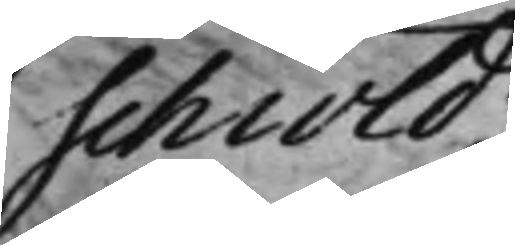schiöld.
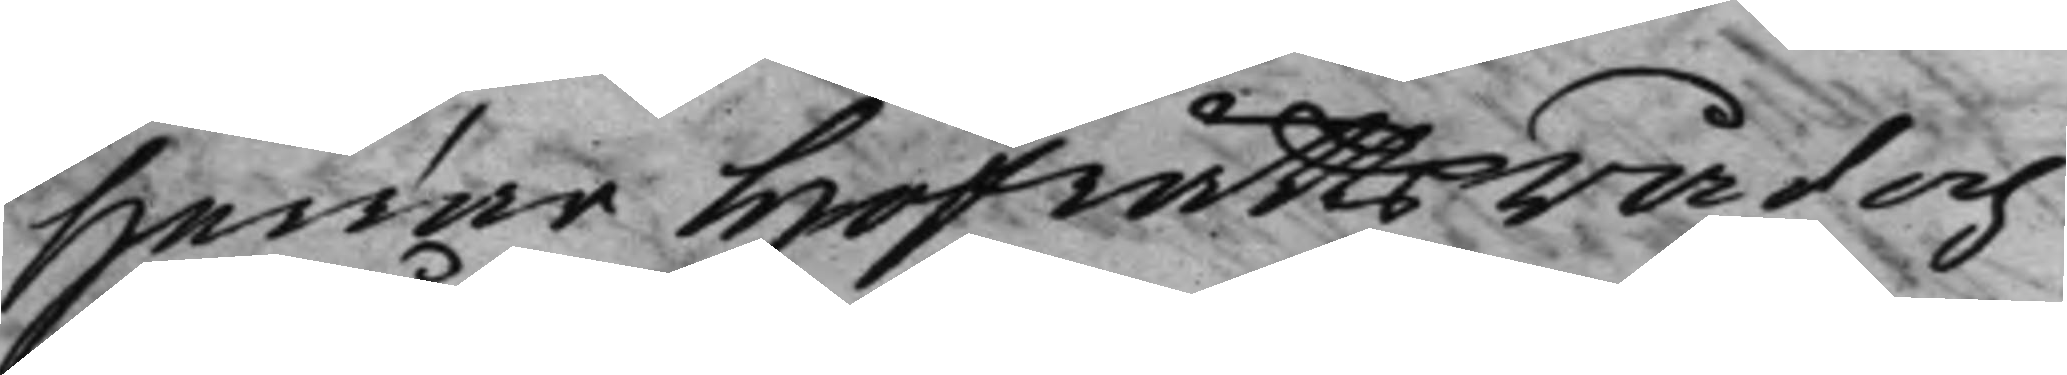Herrar Hofrättsråd och
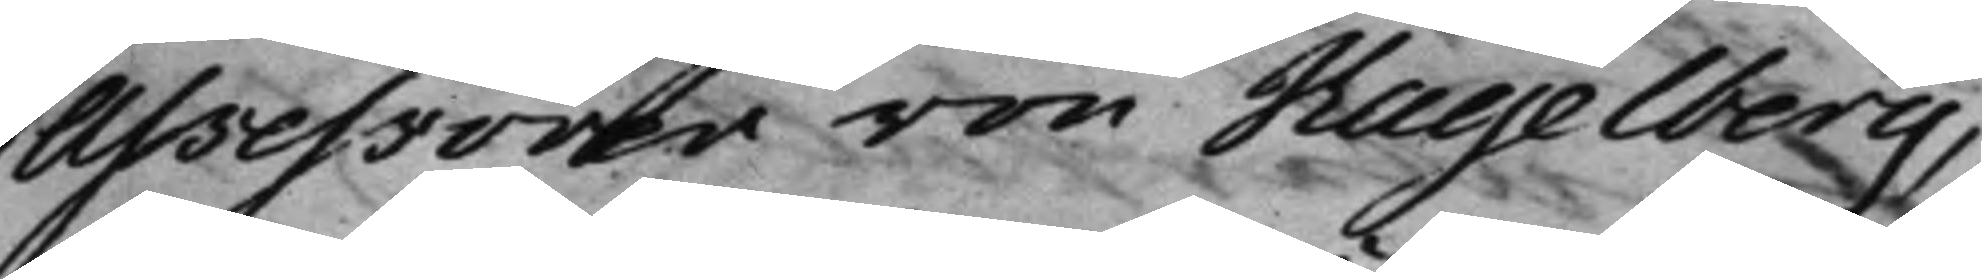Assessorer von Hagelberg,
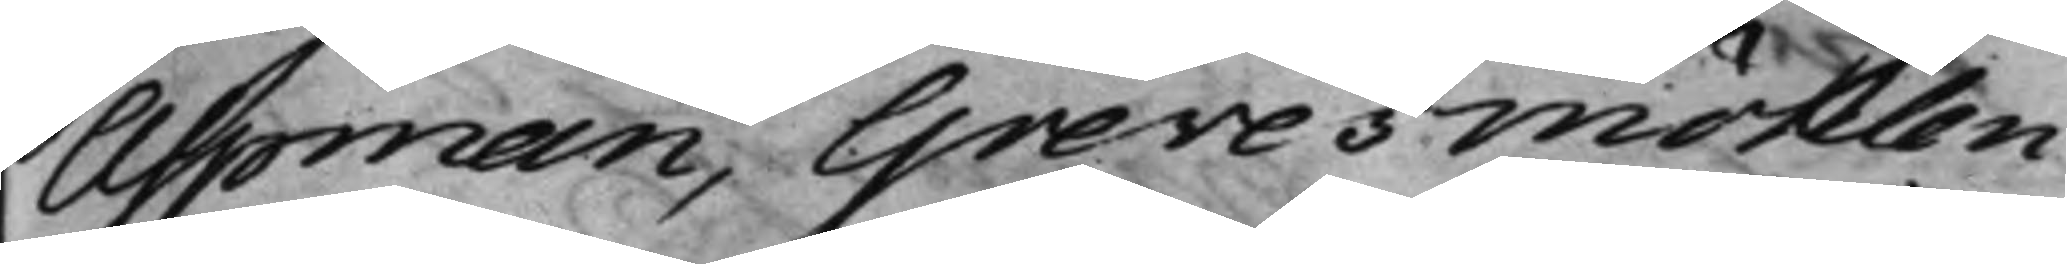Aspman, Grevesmöhlen
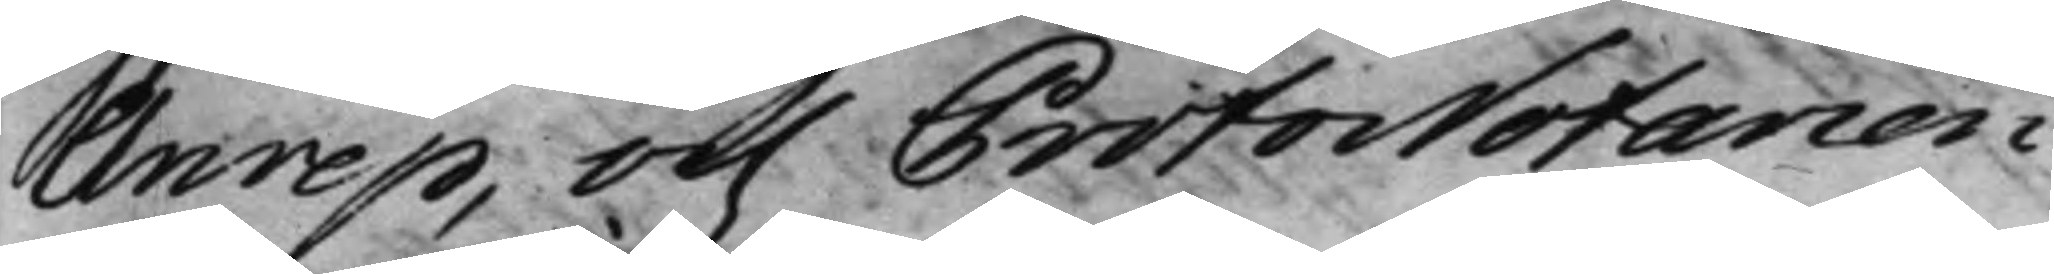Anrep, och ProtoNotarien
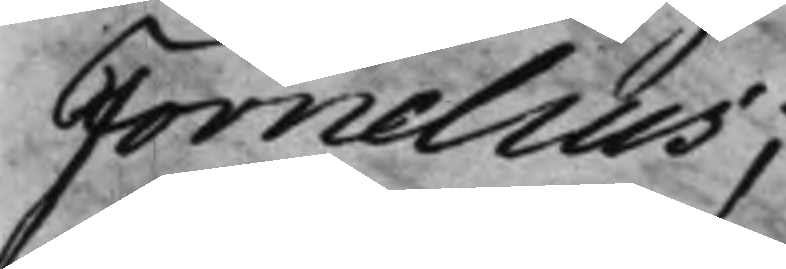Fornelius;
